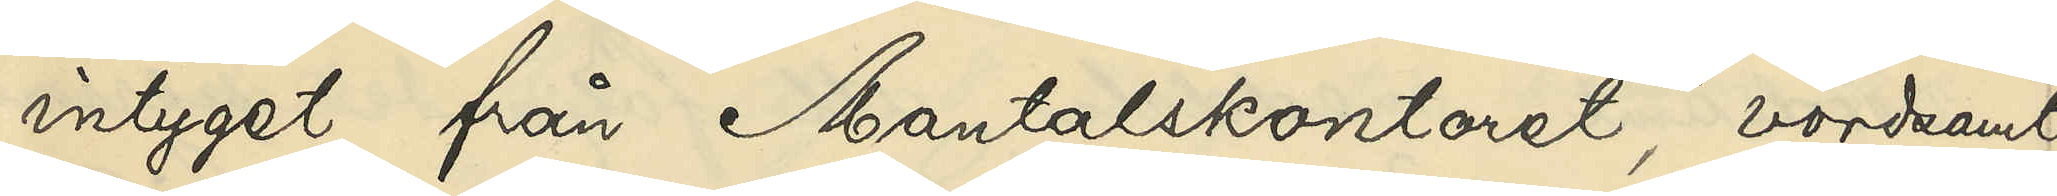intyget från Mantalskontoret, vördsamt
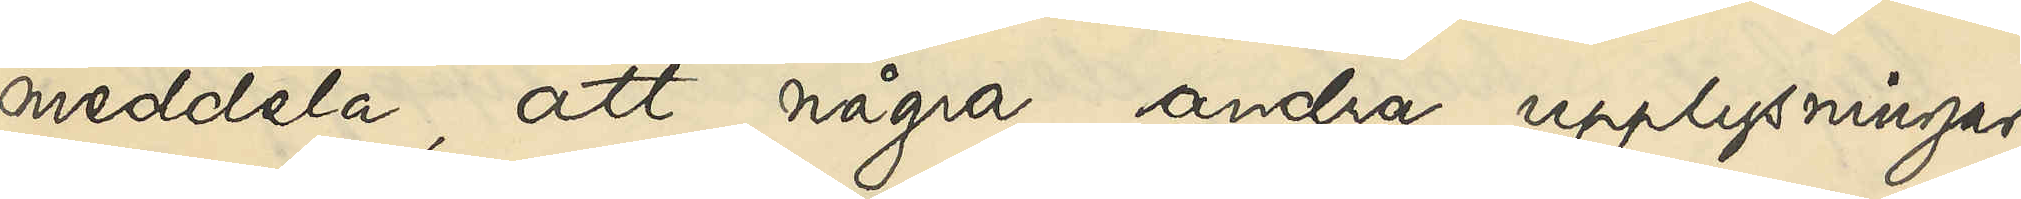meddela, att några andra upplysningar
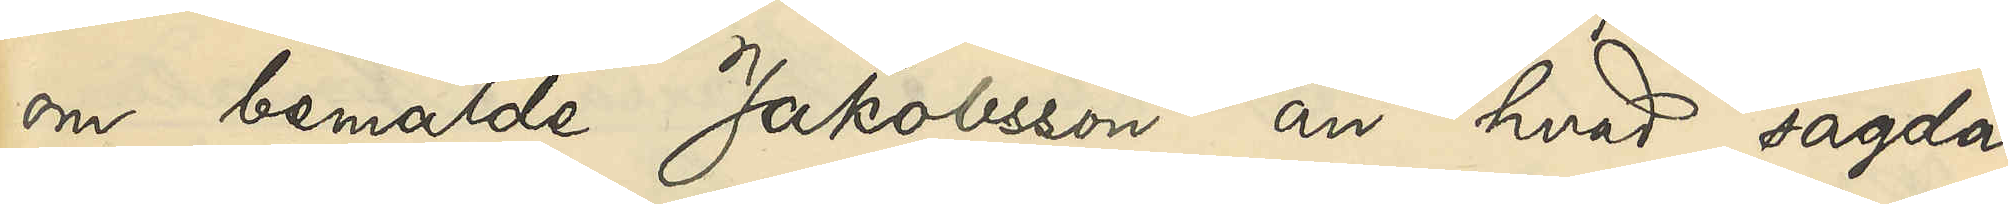om bemälde Jakobsson än hvad sagda
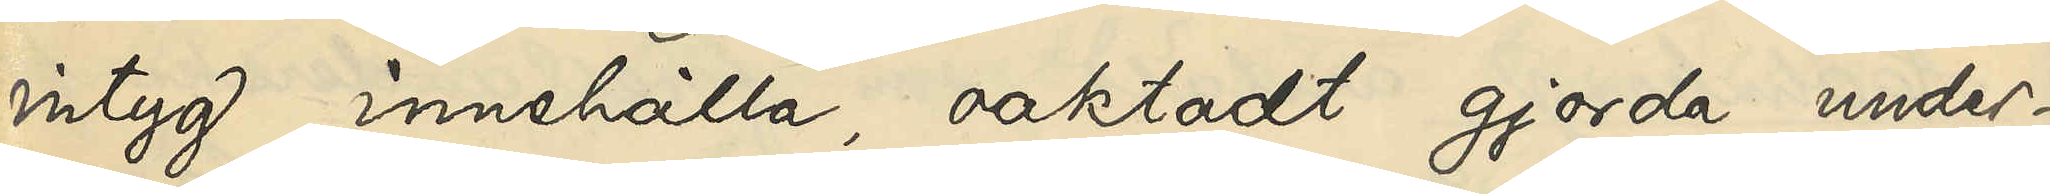intyg innehålla, oaktadt gjorda under¬
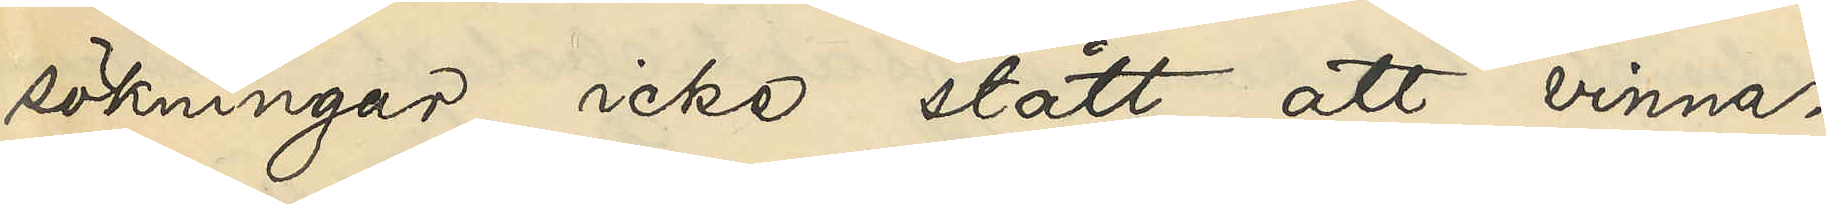sökningar icke stått att vinna.
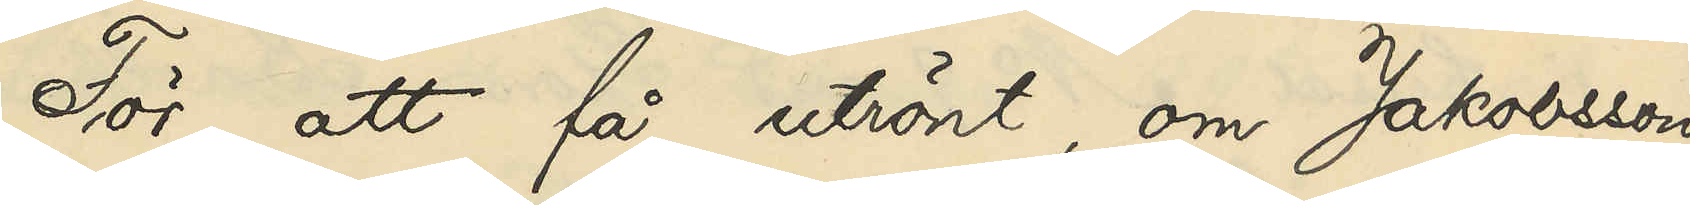För att få utrönt, om Jakobsson
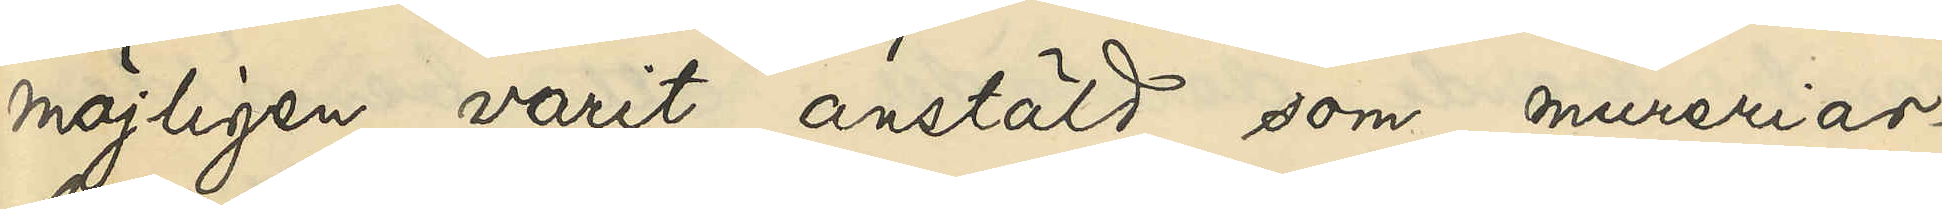möjligen varit anstäld som mureriar¬
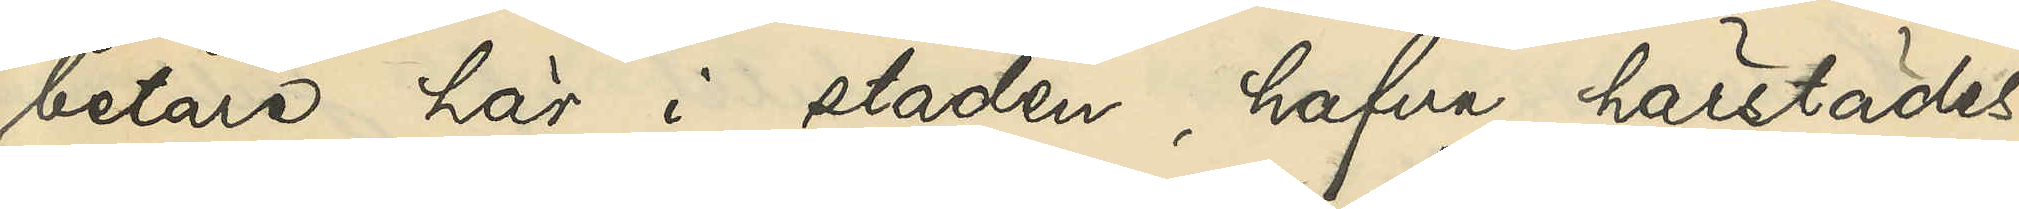betare här i staden, hafva härstädes
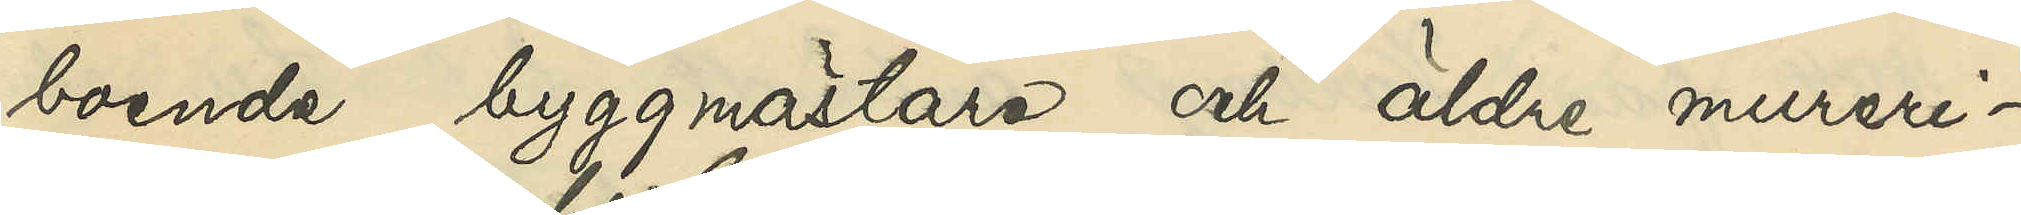boende byggmästare och äldre mureri¬
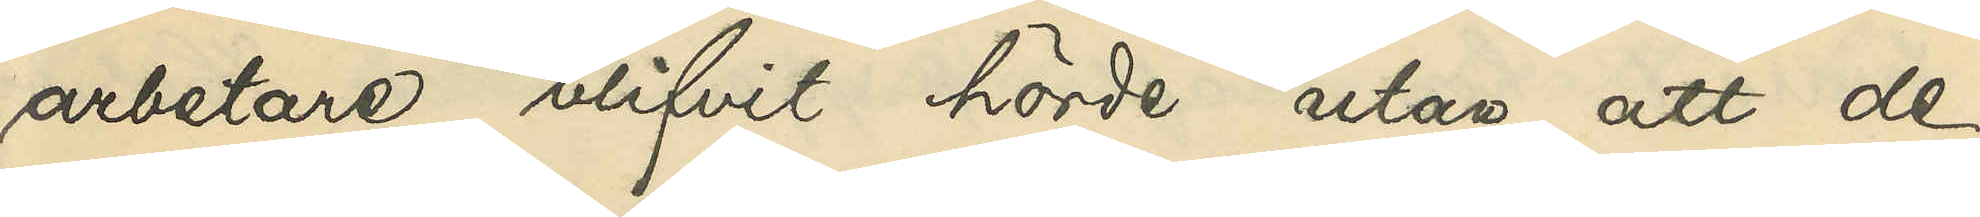arbetare blifvit hörde utan att de
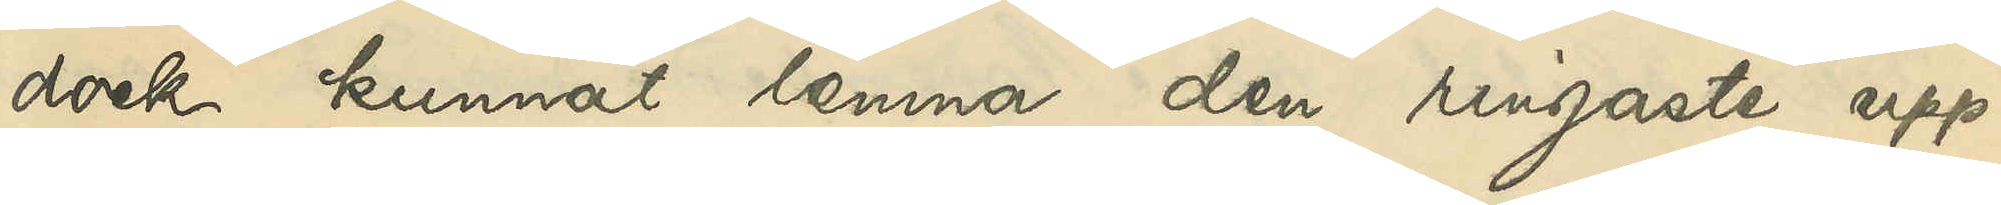dock kunnat lemna den ringaste upp¬
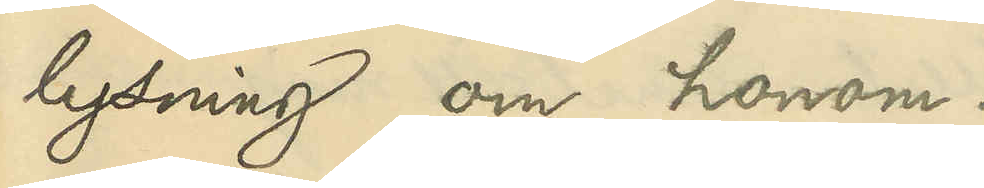lysning om honom.
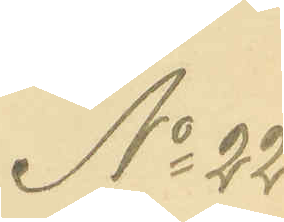No 22
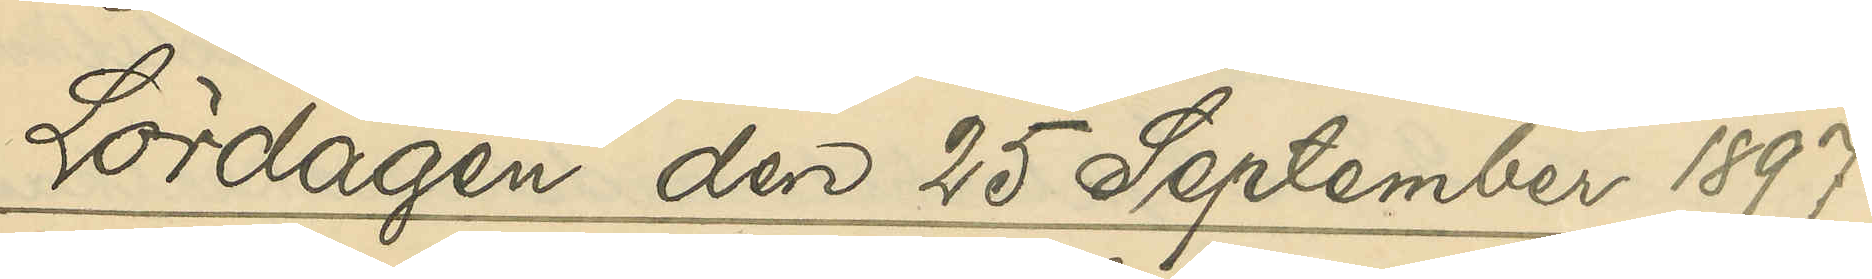Lördagen den 25 September 1897
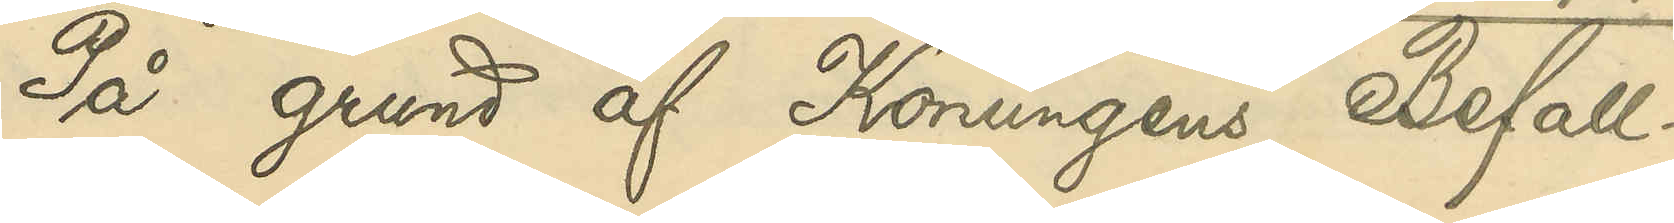På grund af Konungens Befall¬
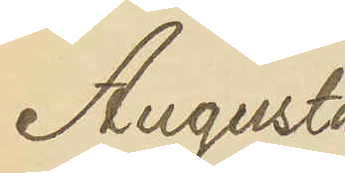Augusta
